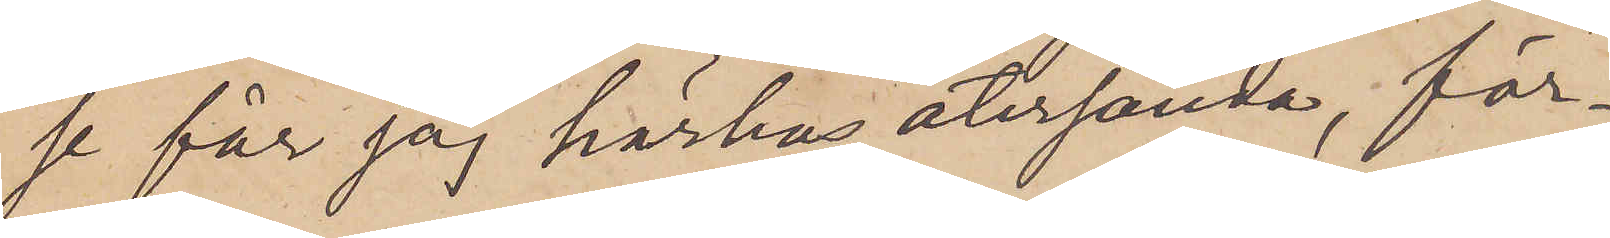se får jag härhos återsända, för¬
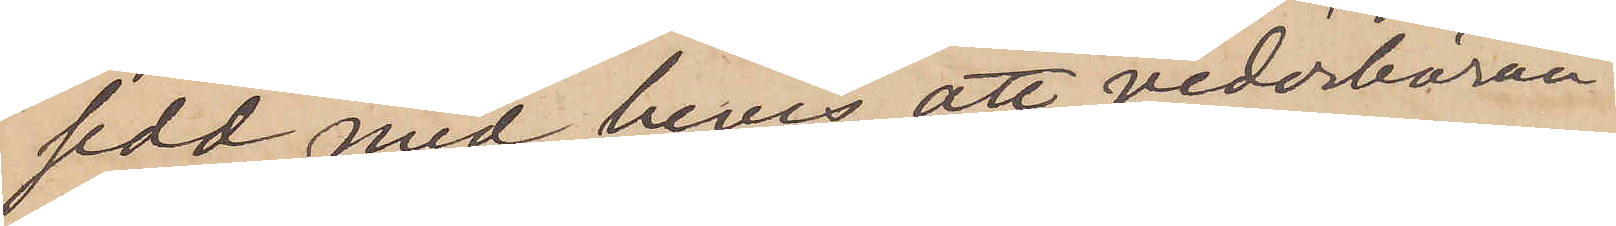sedd med bevis, att vederböran¬
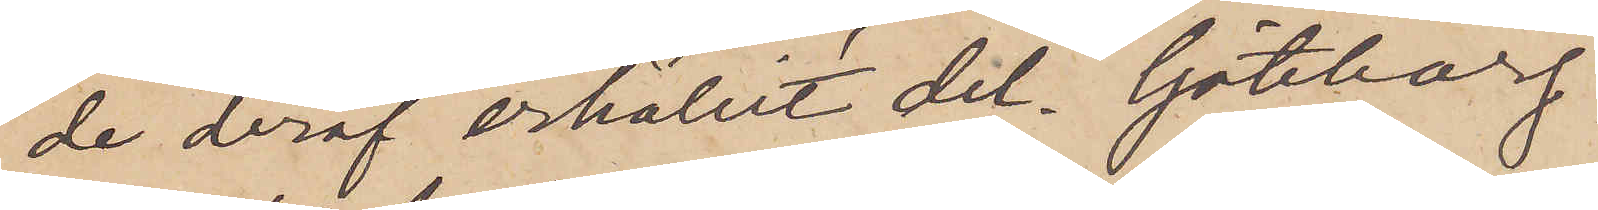de deraf erhållit det. Göteborg
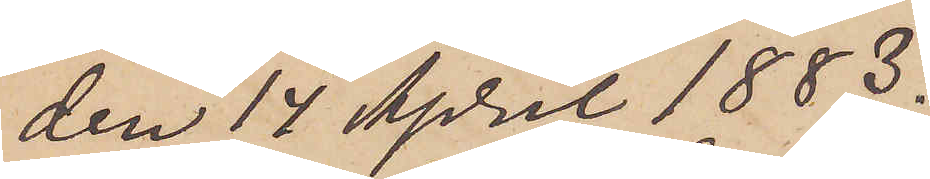den 14 April 1883.
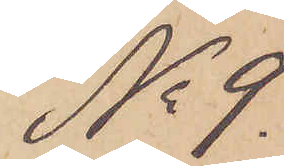No 9
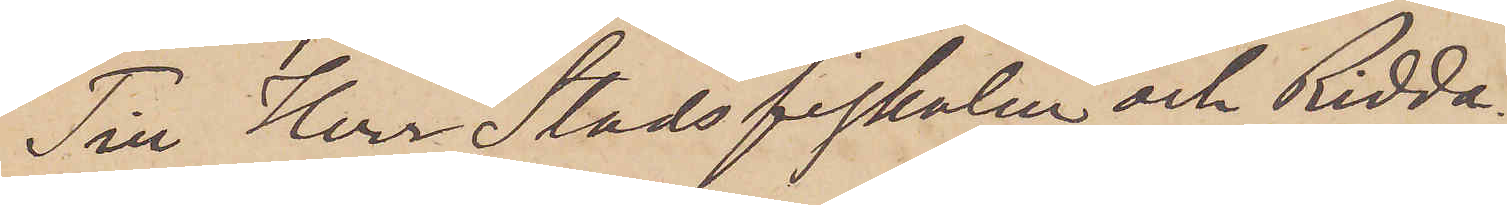Till Herr Stadsfiskalen och Ridda¬
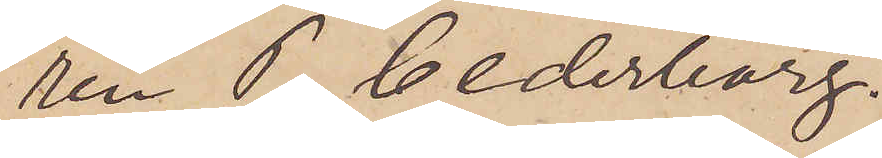ren P. Cederborg.
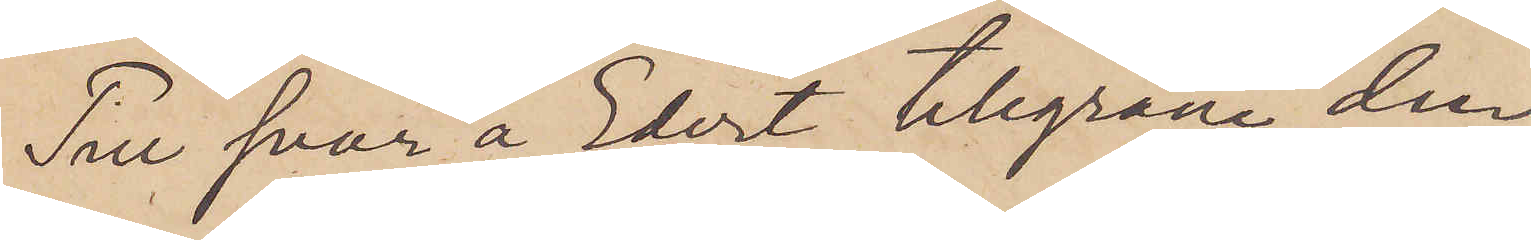Till svar å Edert telegram den
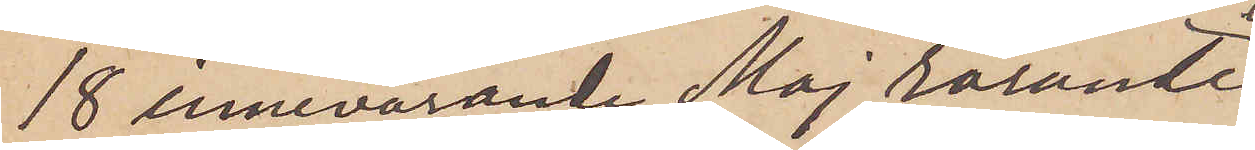18 innevarande Maj rörande
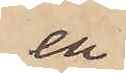en
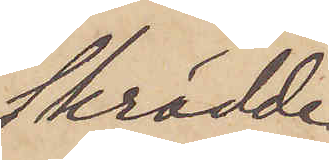Skrädde¬
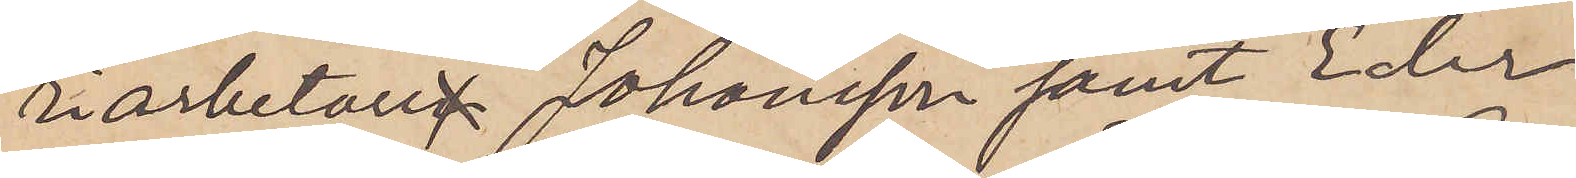riarbetare Johansson samt Eder
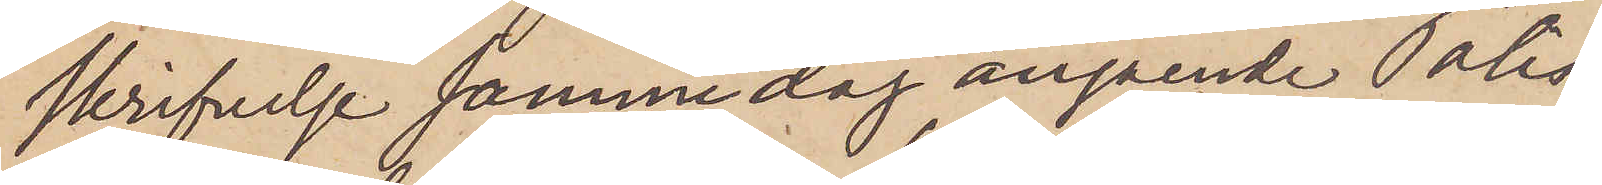skrifvelse samma dag angående Polis¬
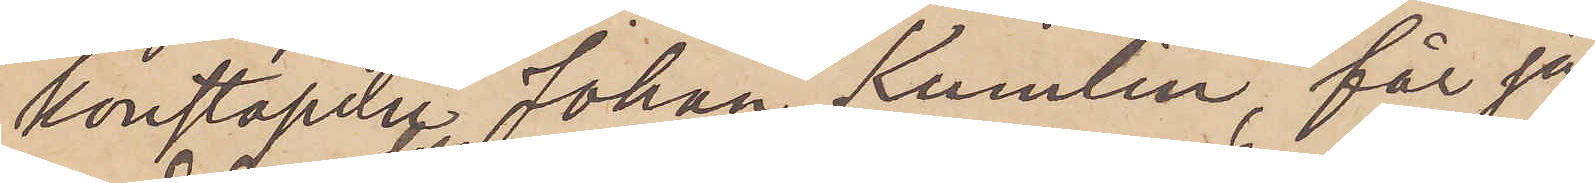konstapeln Johan Kumlin, får jag
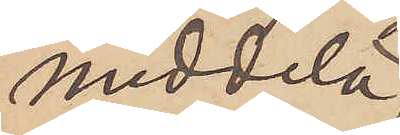meddela,
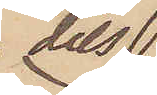dels
